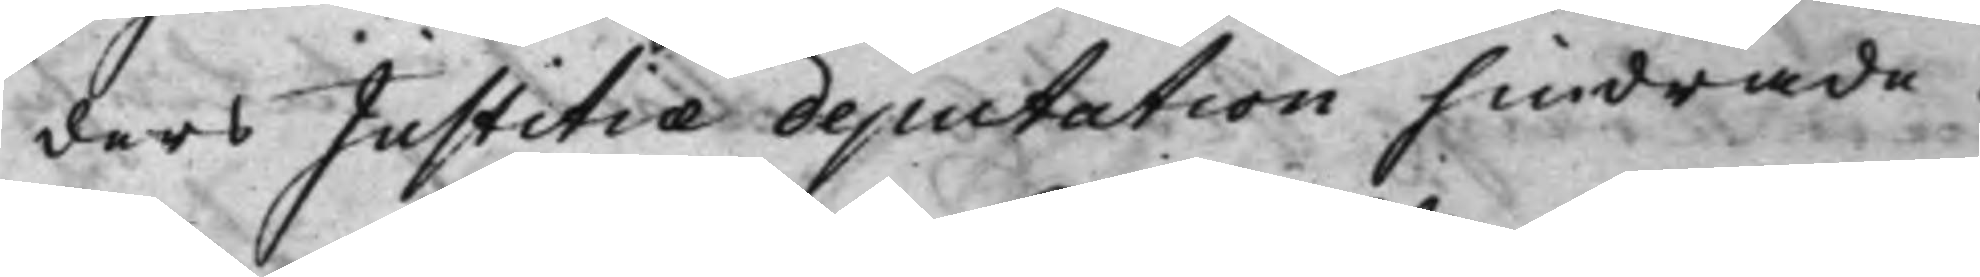ders Justitiæ deputation hindrade.
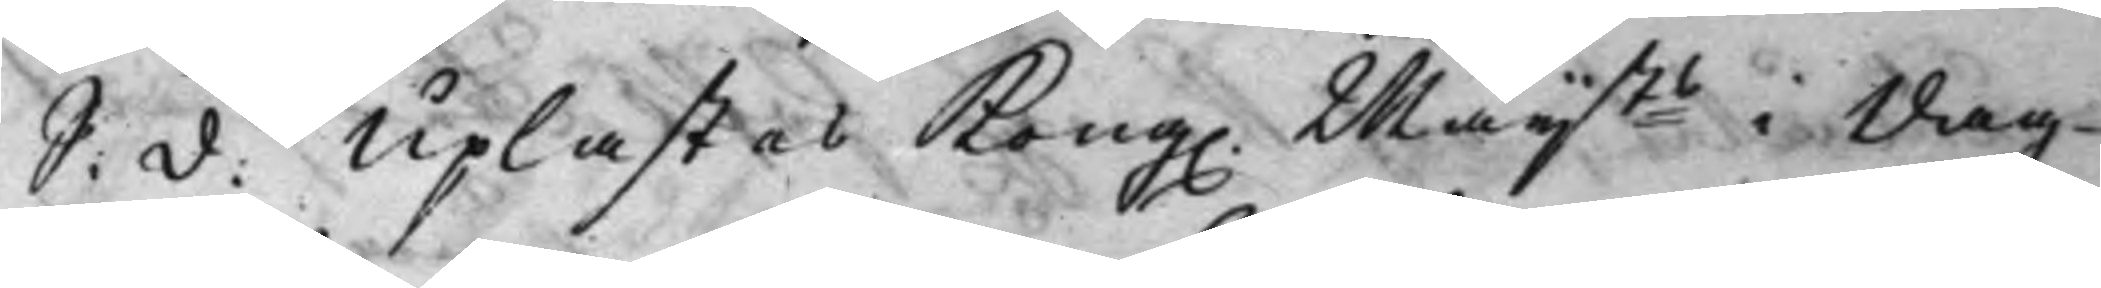S: d: Uplästes Kong. Maijts i dag
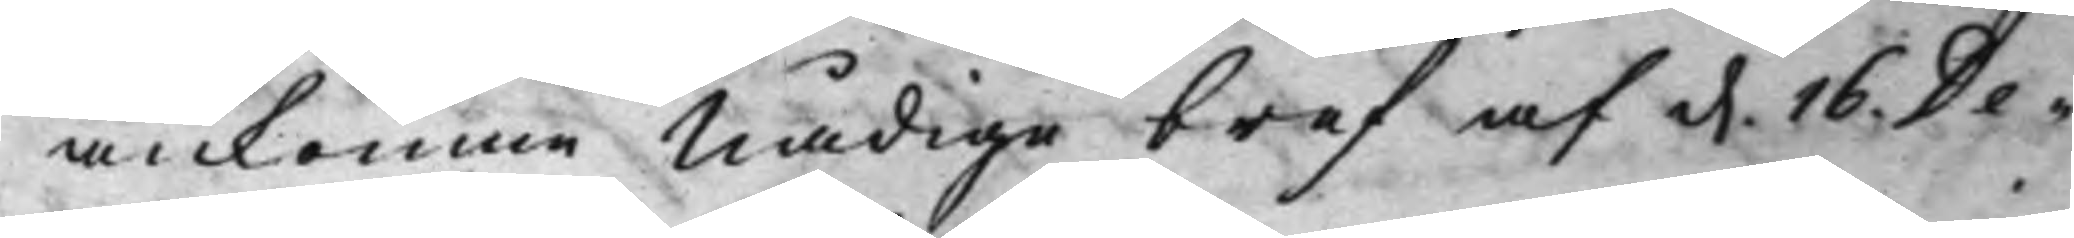ankomne Nådige bref af d. 16. De¬
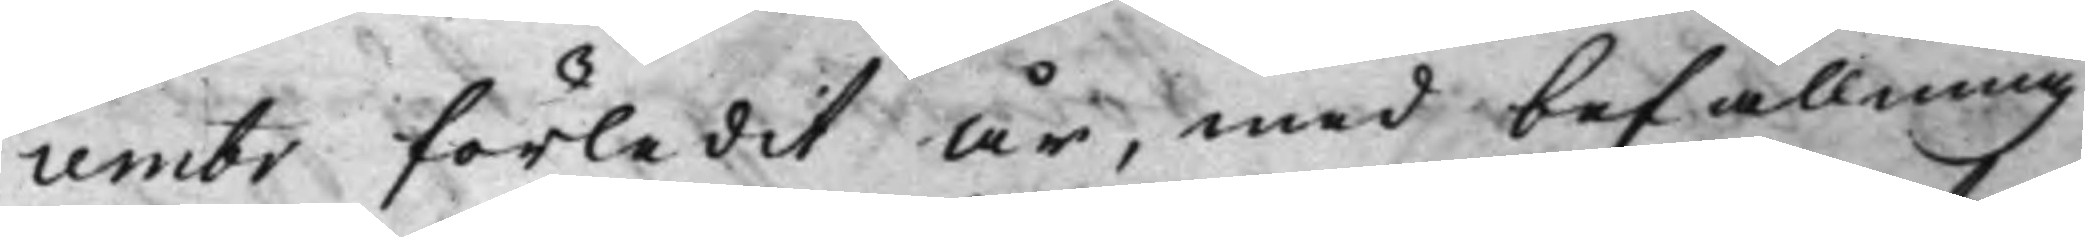cembr förledit År, med befallning
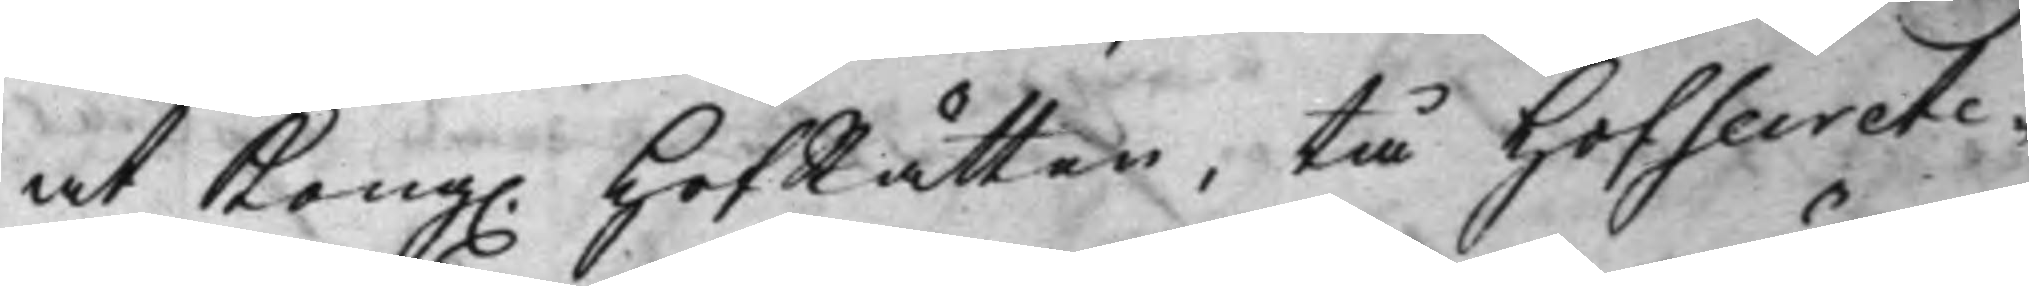at Kong. HofRätten, tå HofSecrete¬
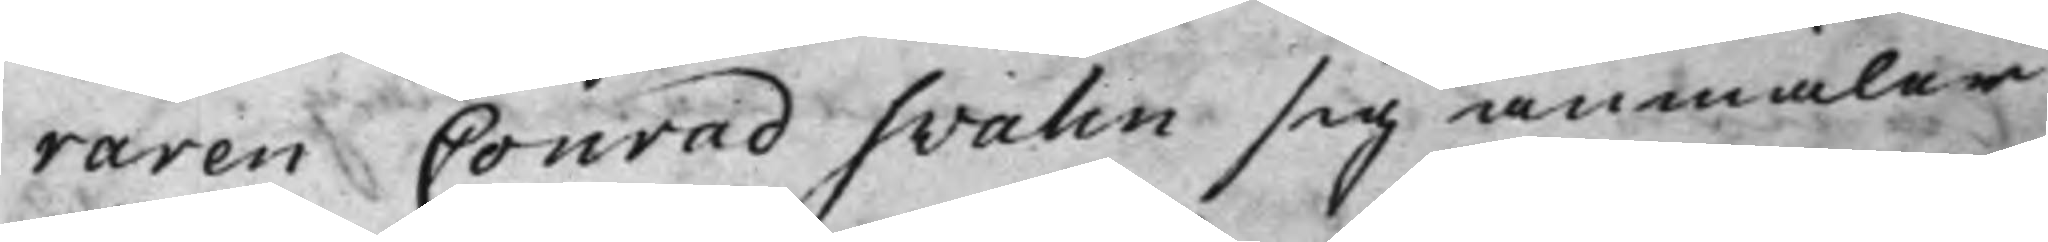raren Conrad Svalin sig anmäler
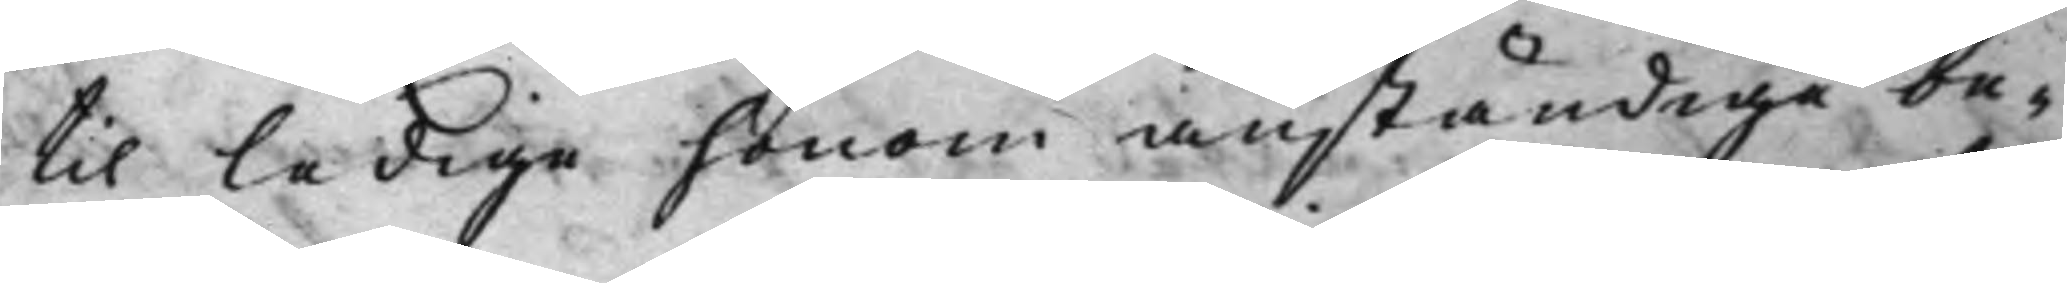til ledige honom anständige be¬
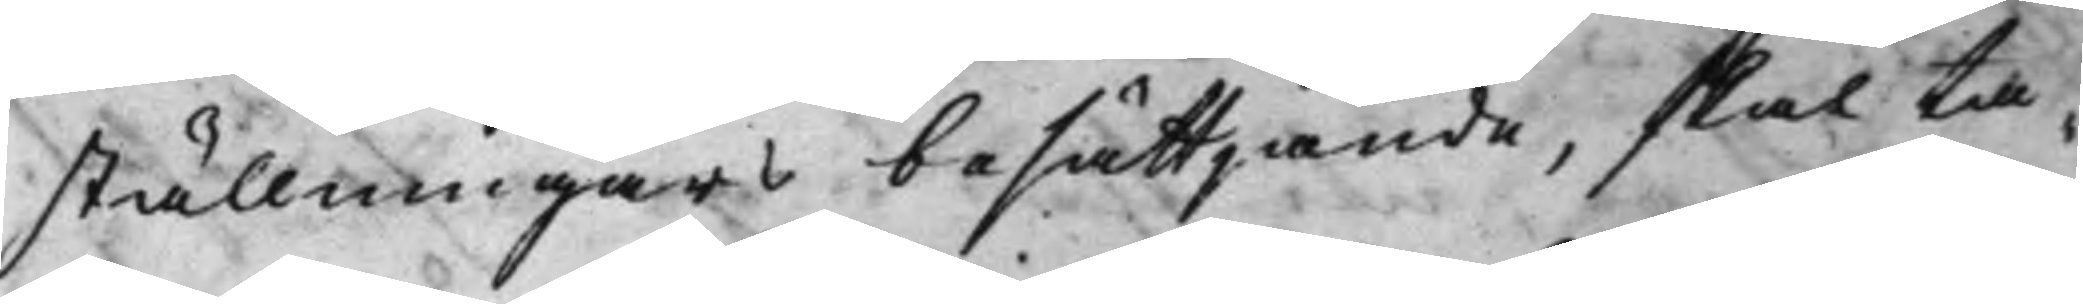ställningars besättjande, skal ta¬
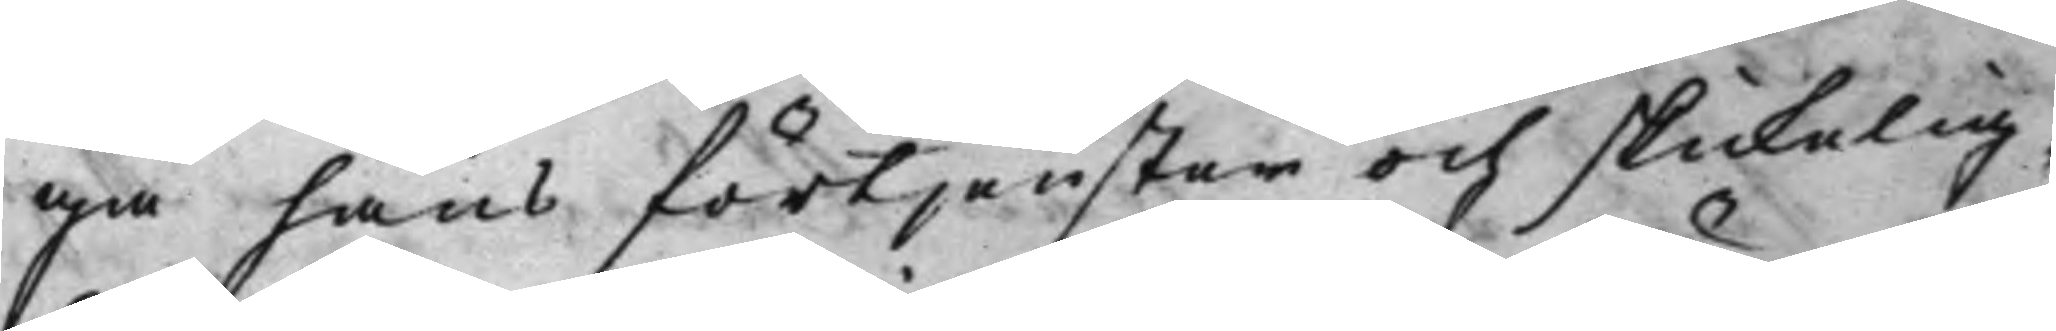ga hans förtjenster och skickelig¬
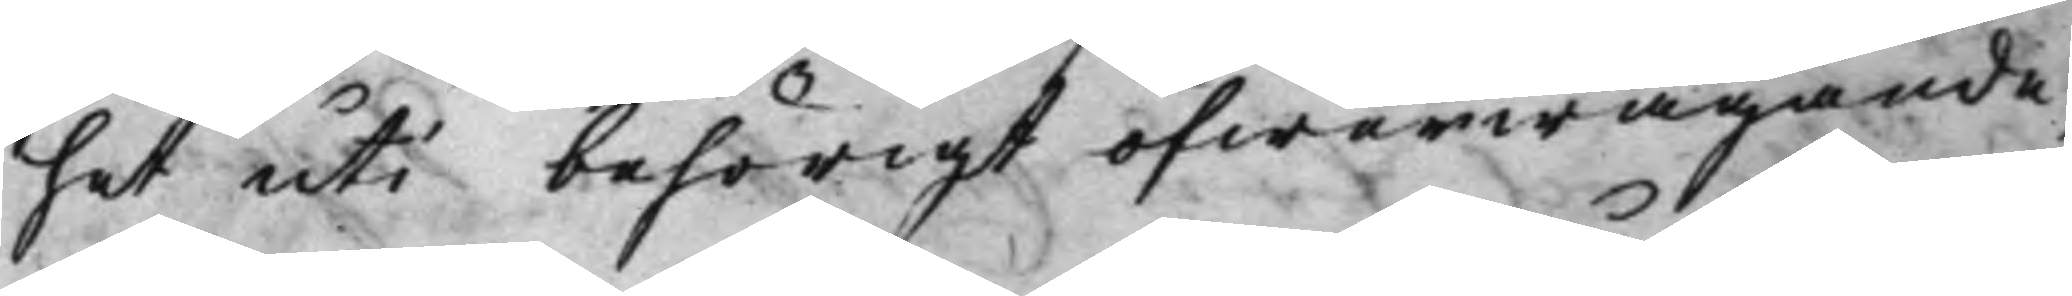het uti behörigt öfwerwägande,
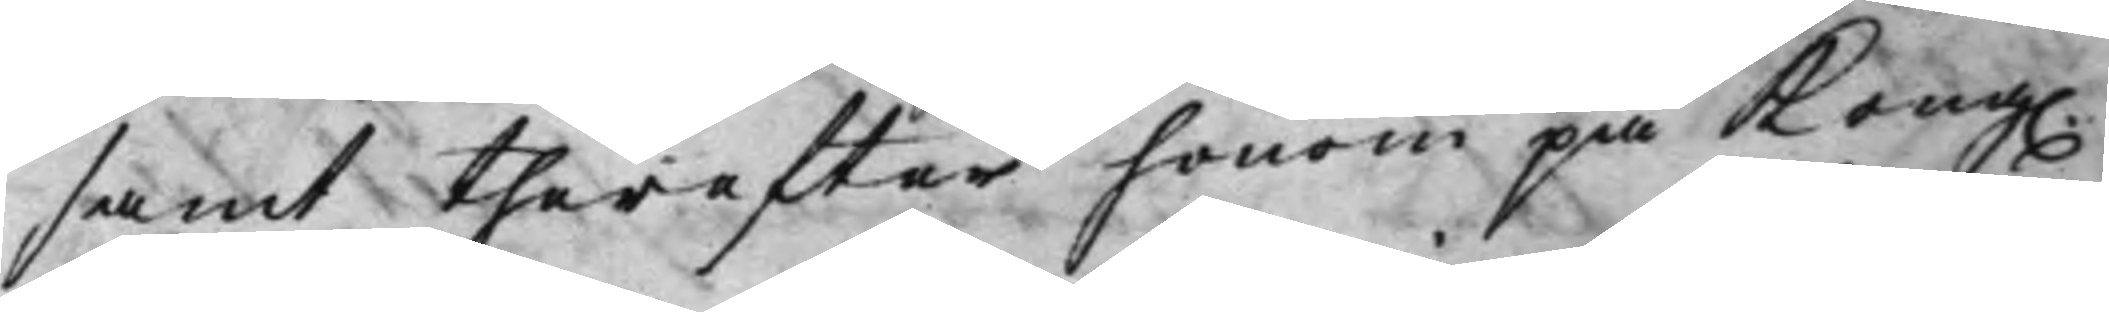samt therefter honom på Kong.
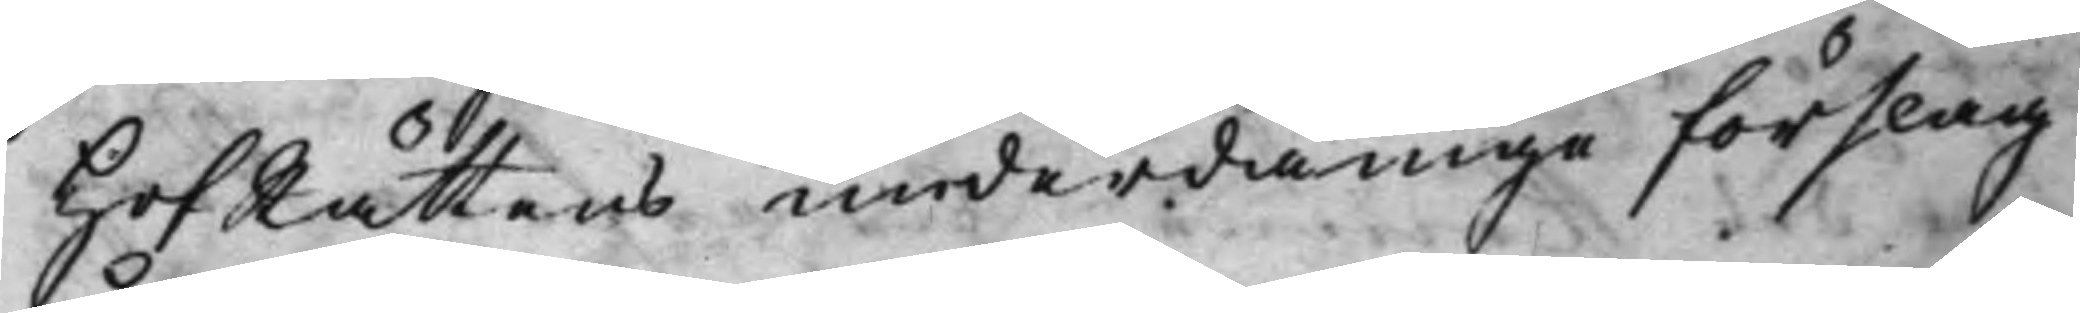HofRättens underdånige förslag
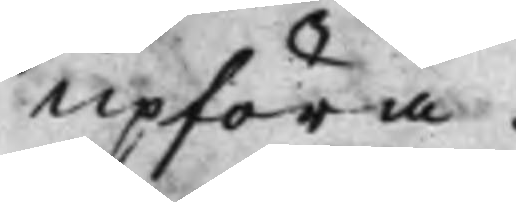upföra.
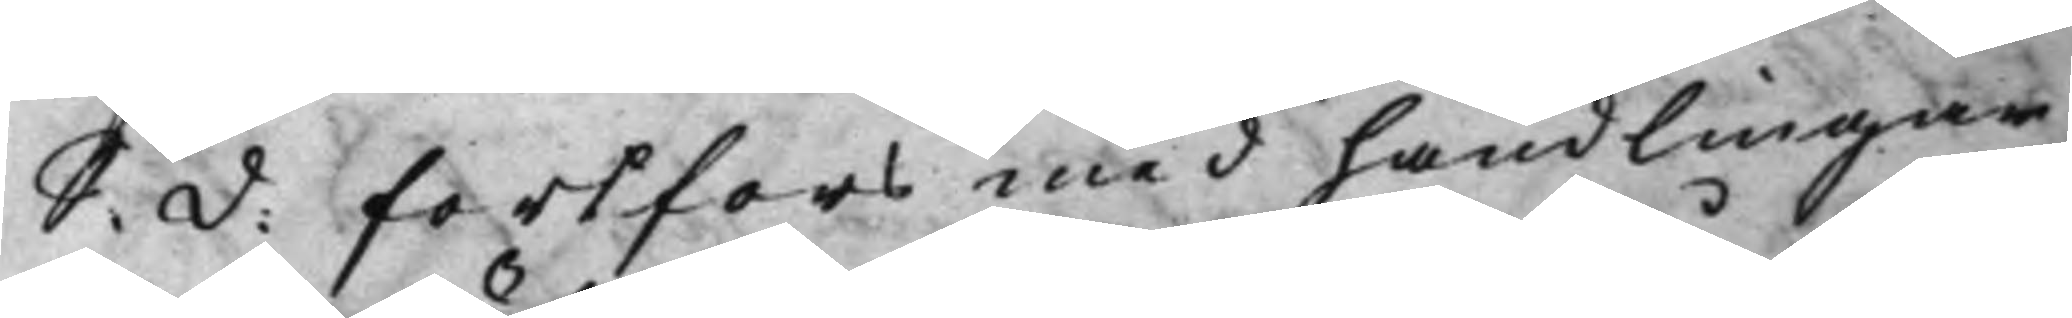S: d: Fortfors med handlingar¬
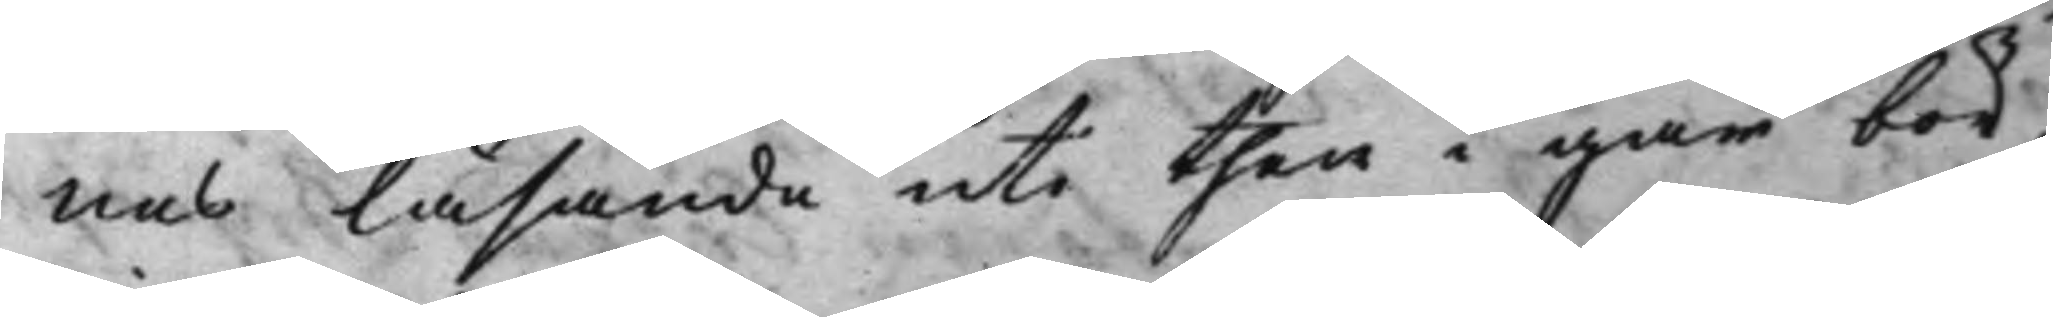nas läsande uti then i går bör¬
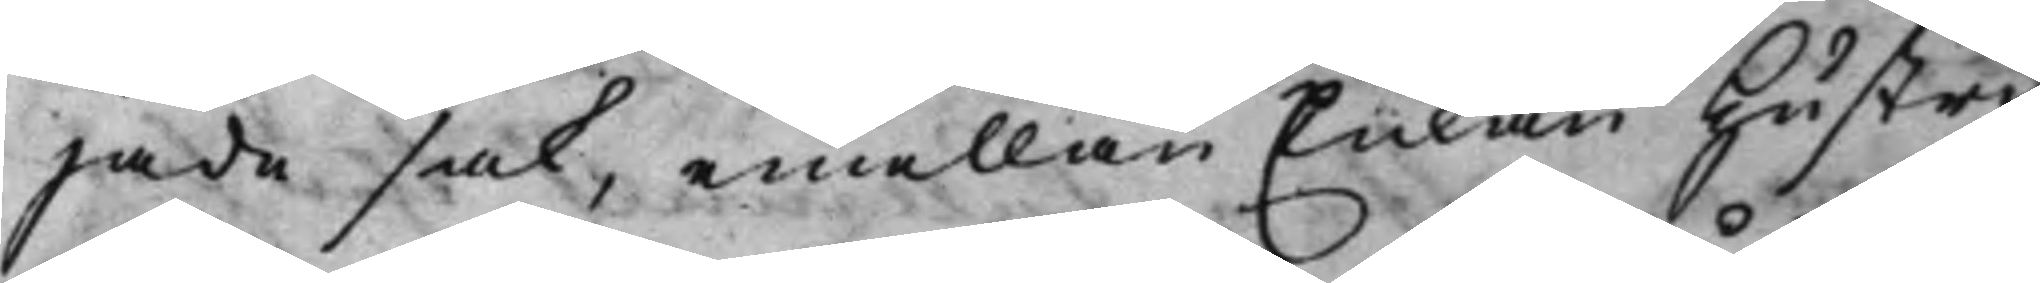jade sak, emellan Enkan Hustru
